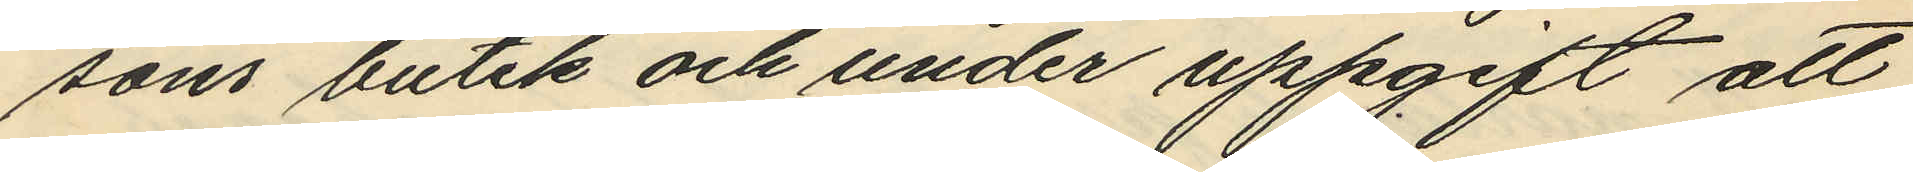sons butik och under uppgift att
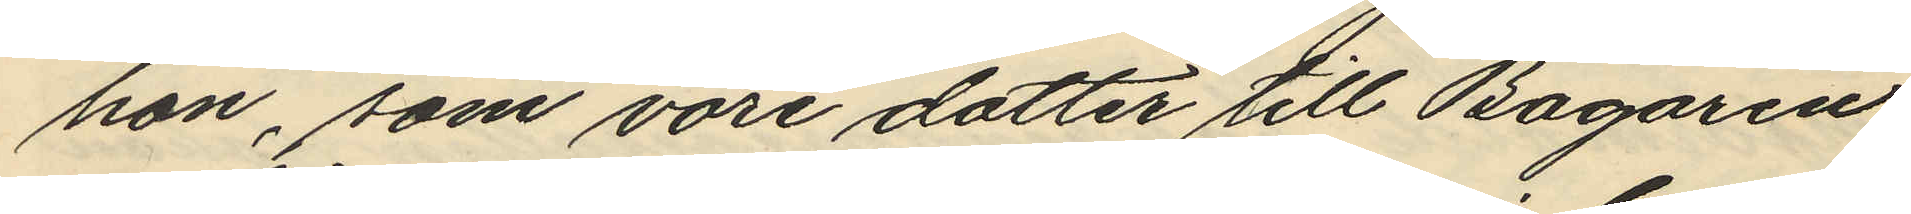hon, som vore dotter till Bagaren
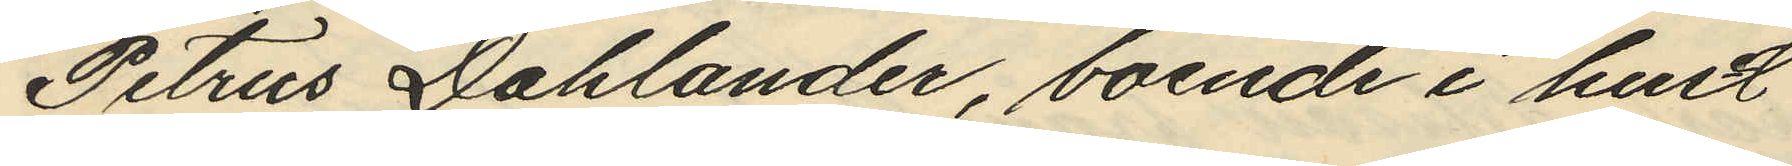Petrus Dahlander, boende i hust
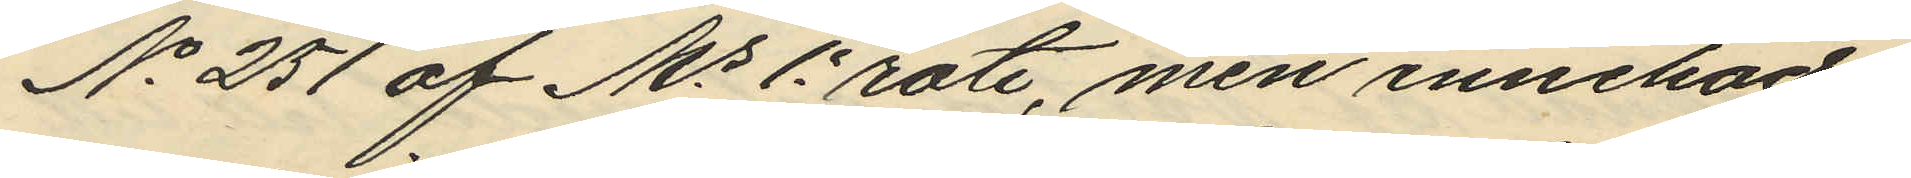No 251 af Ms 1e rote, men innehade
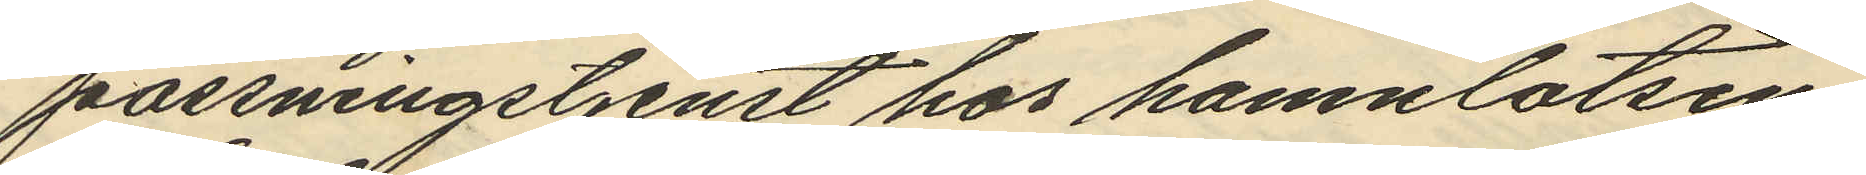passningstjenst hos hamnlotsen
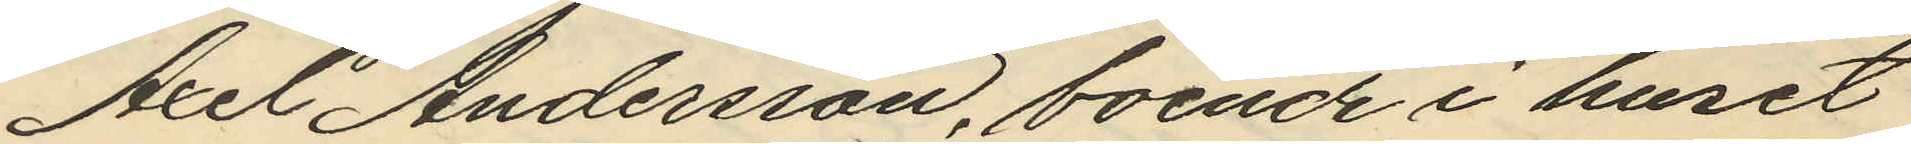Axel Andersson, boende i huset
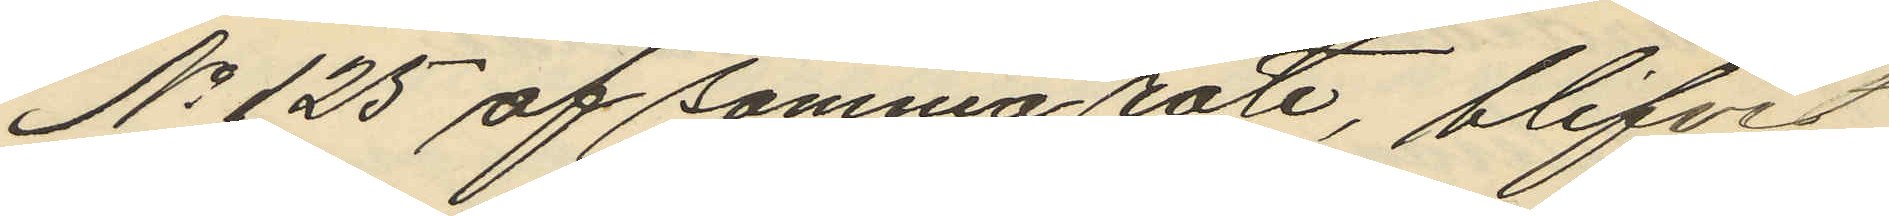No 125 af samma rote, blifvit
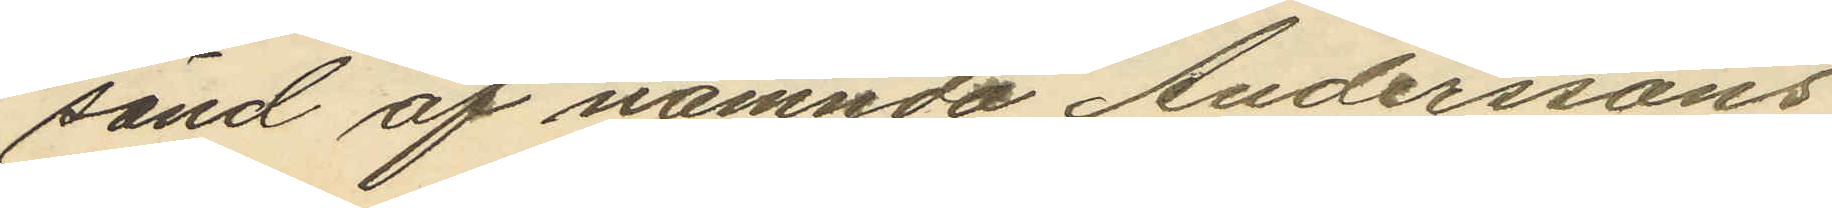sänd af nämnda Anderssons
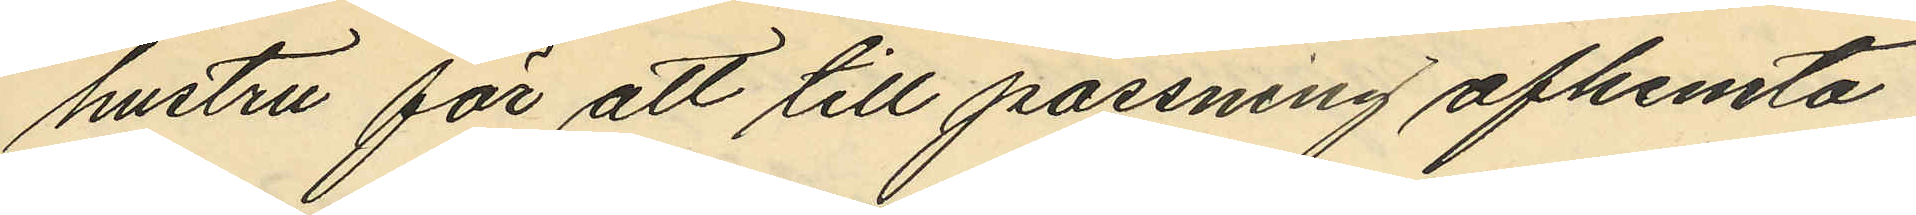hustru för att till passning afhemta
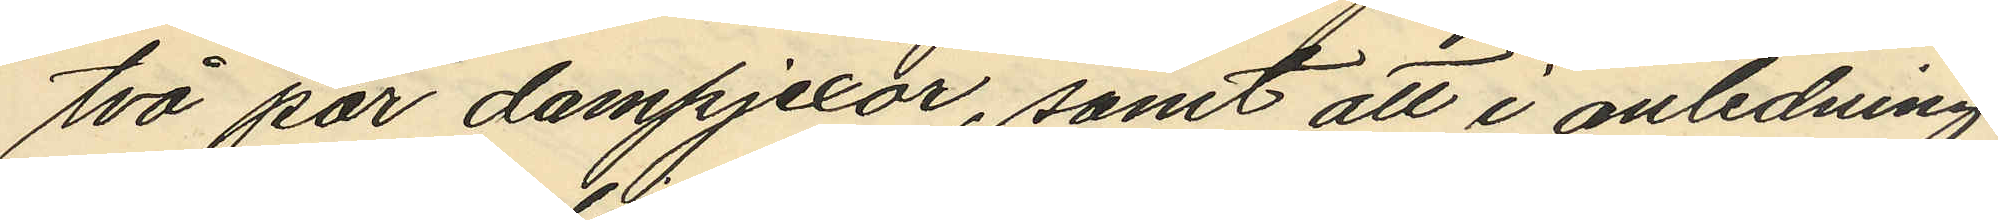två par dampjexor, samt att i anledning
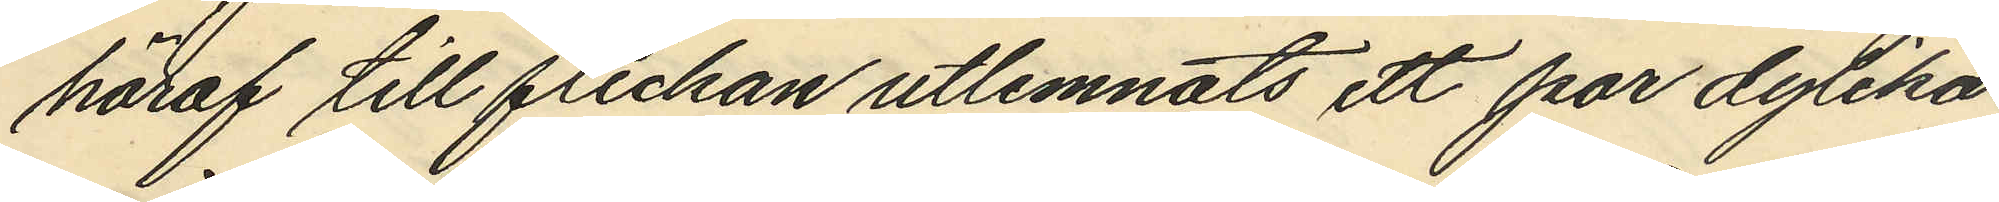häraf till flickan utlemnats ett par dylika
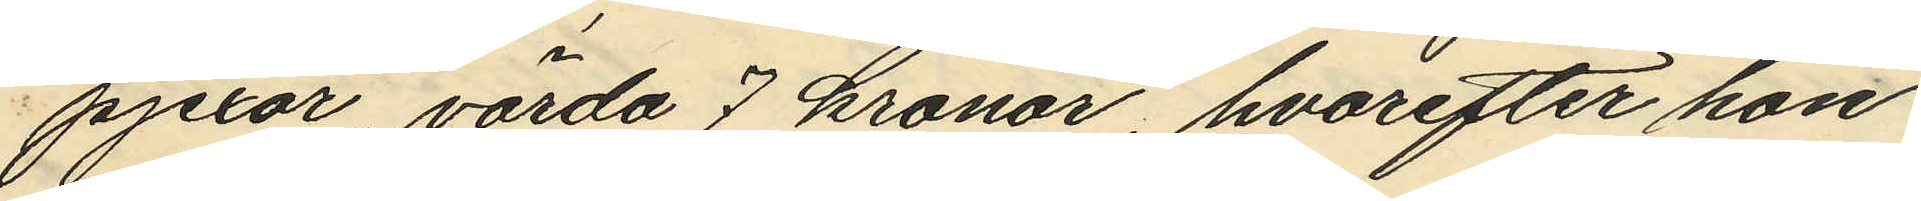pjexor, värda 7 kronor, hvarefter hon
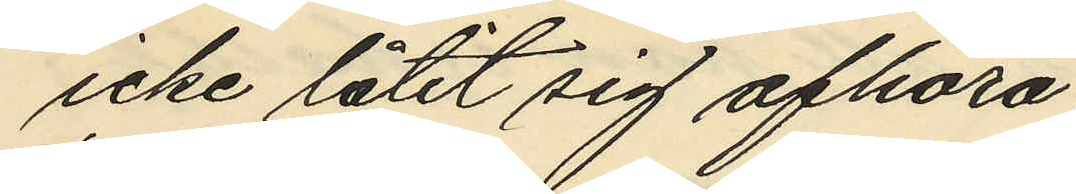icke låtit sig afhöra.
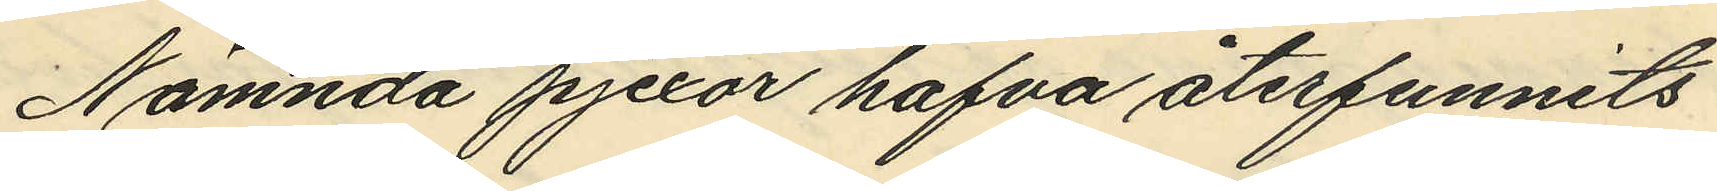Nämnda pjexor hafva återfunnits
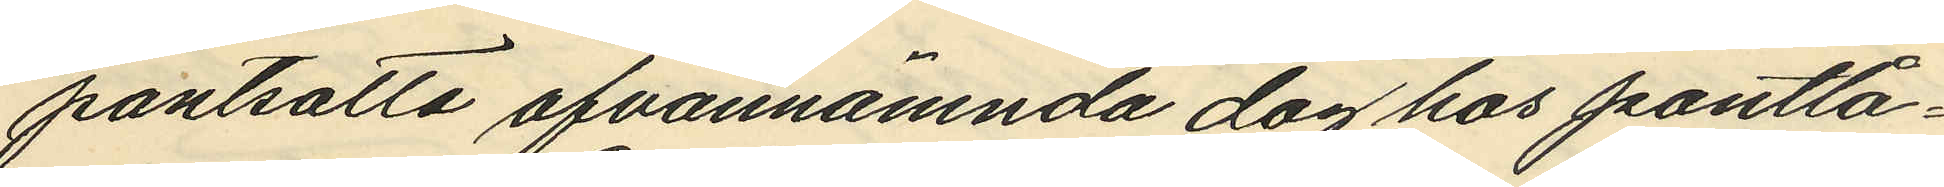pantsatta ofvannämnda dag hos pantlå¬
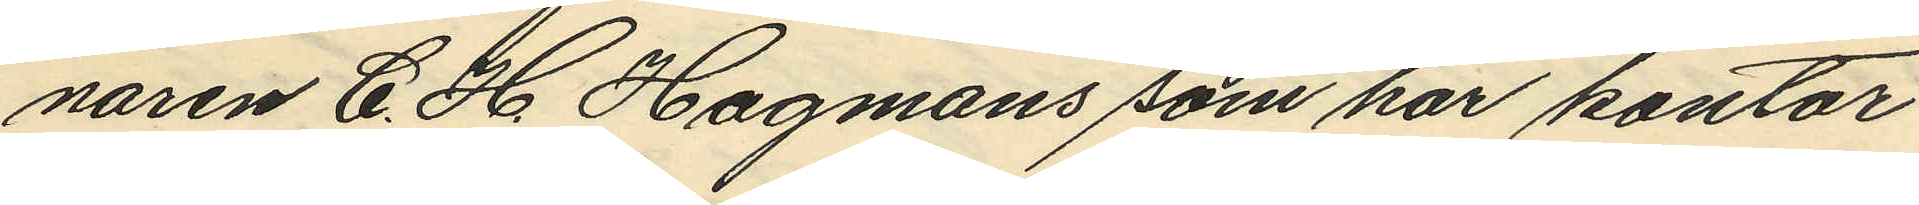naren C. H. Hagmans som har kontor
